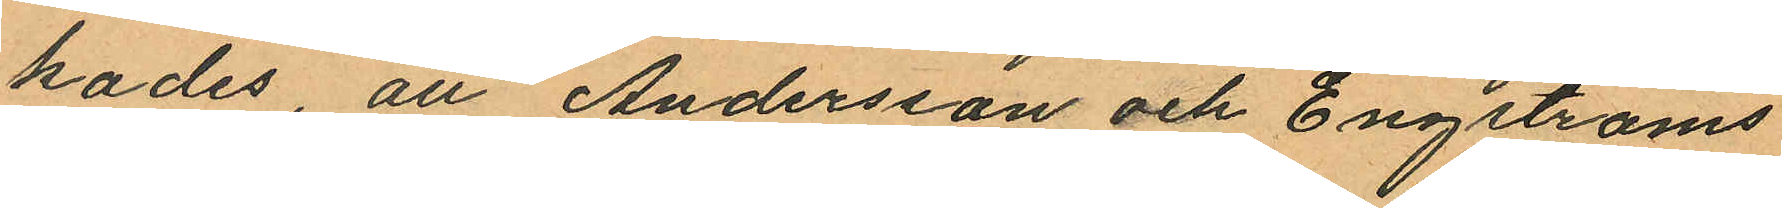kades, att Andersson och Engströms
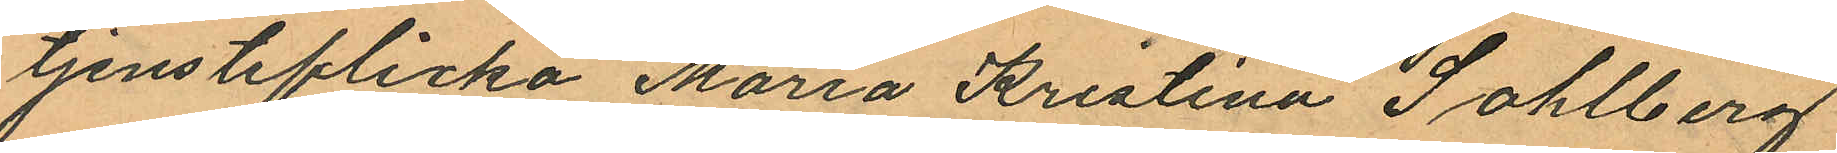tjensteflicka Maria Kristina Sohlberg
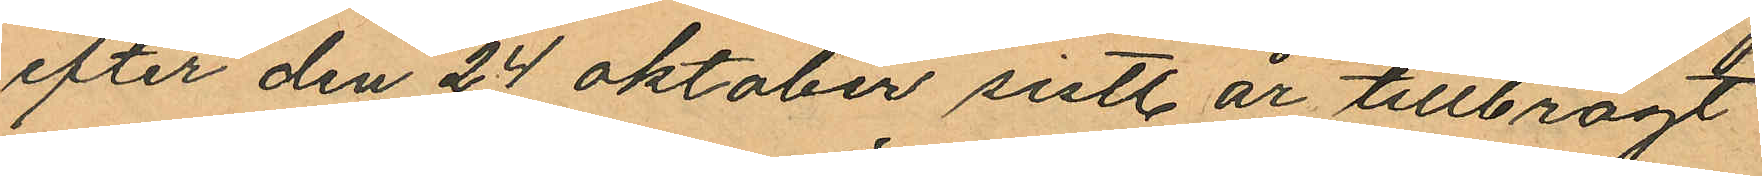efter den 24 Oktober sistl. år tillbragt
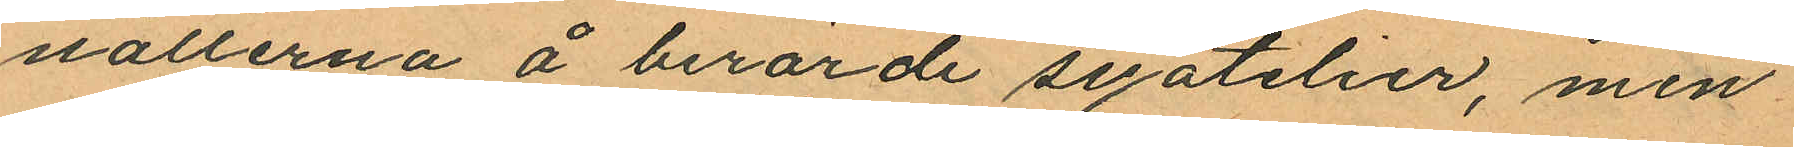nätterna å berörde syatelier, men
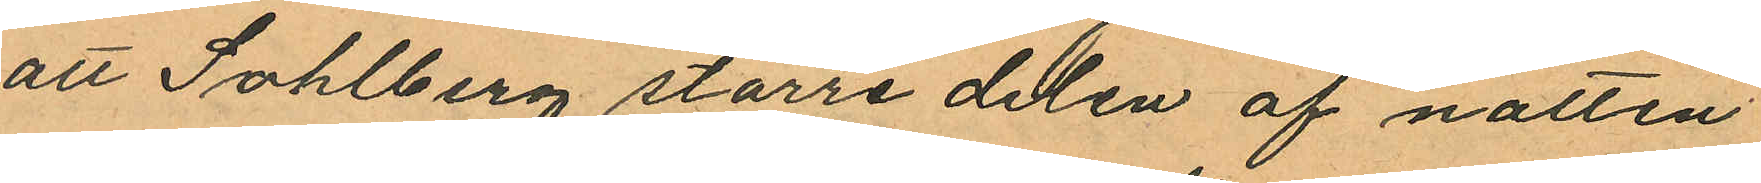att Sohlberg större delen af natten
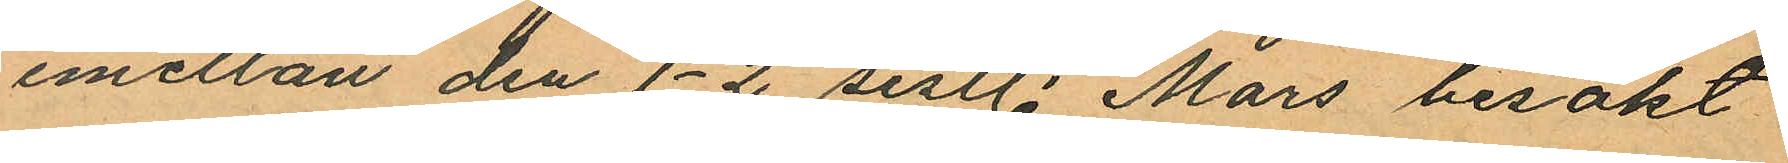emellan den 1-2 sistl. Mars besökt
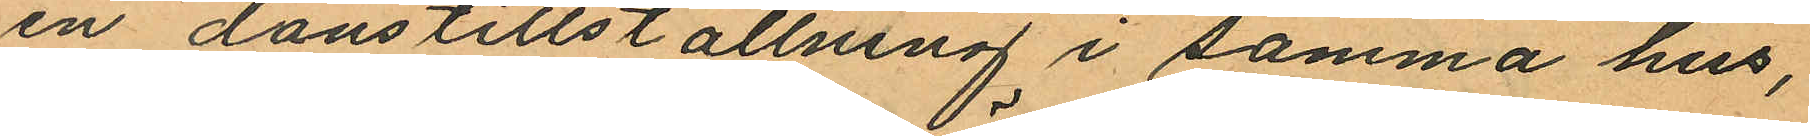en danstillställning i samma hus,
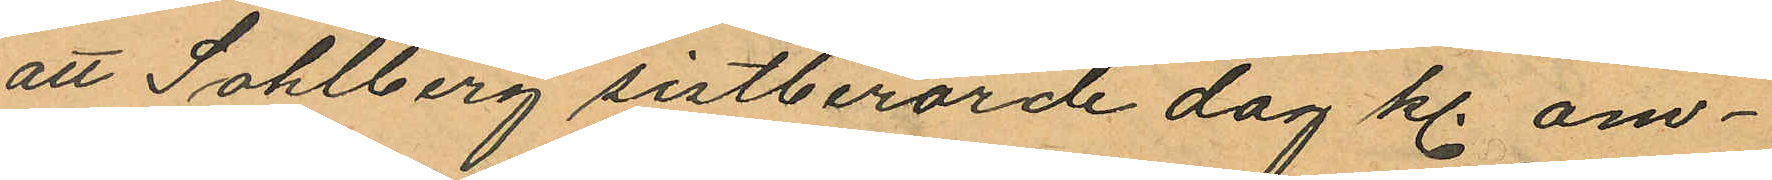att Sohlberg sistberörde dag kl. om¬
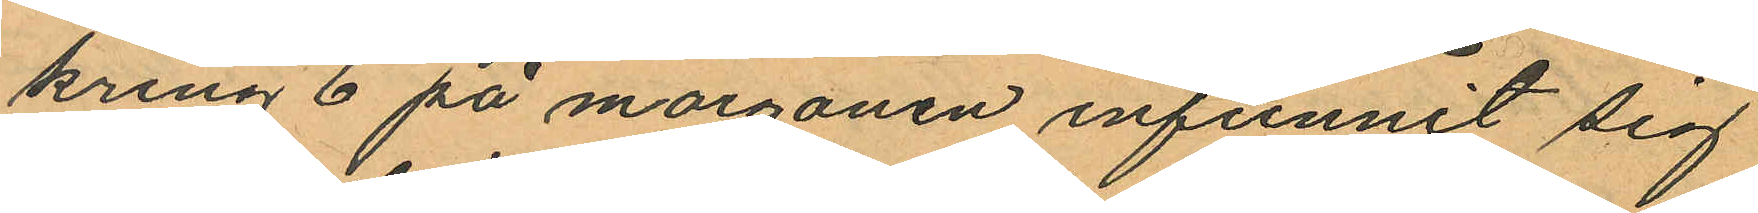kring 6 på morgonen infunnit sig
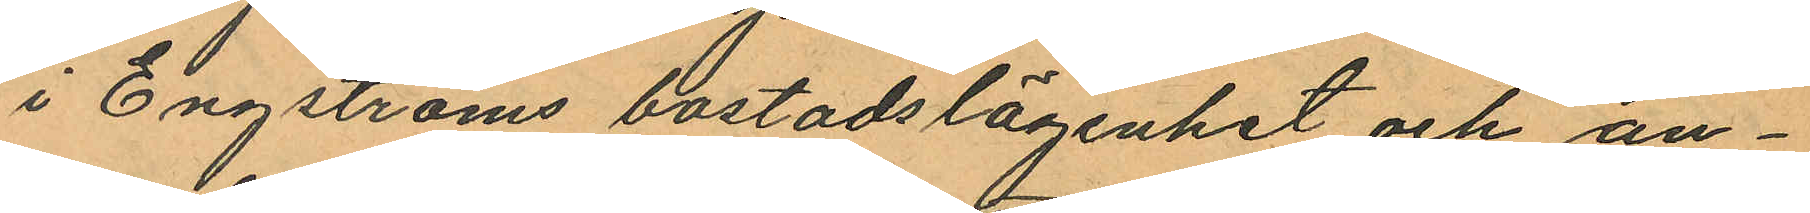i Engströms bostadslägenhet och an¬
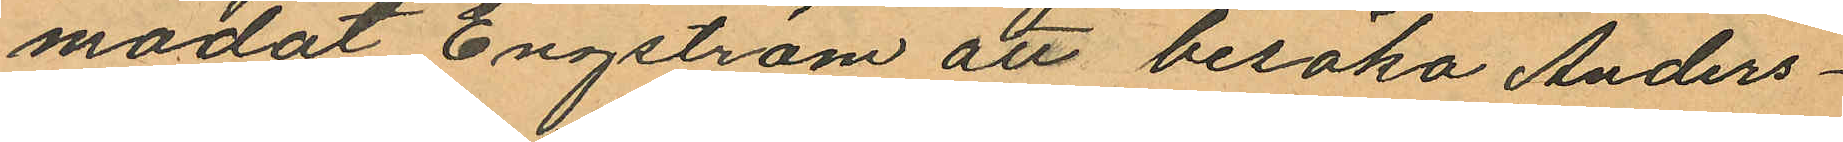modat Engström att besöka Anders¬
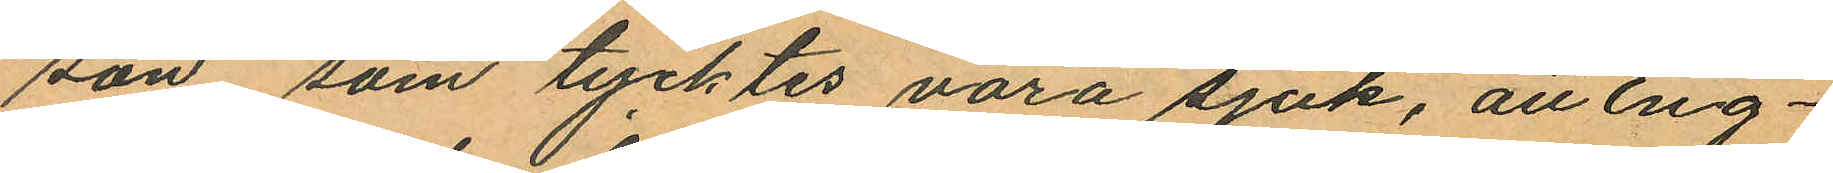son, som tycktes vara sjuk, att Eng¬
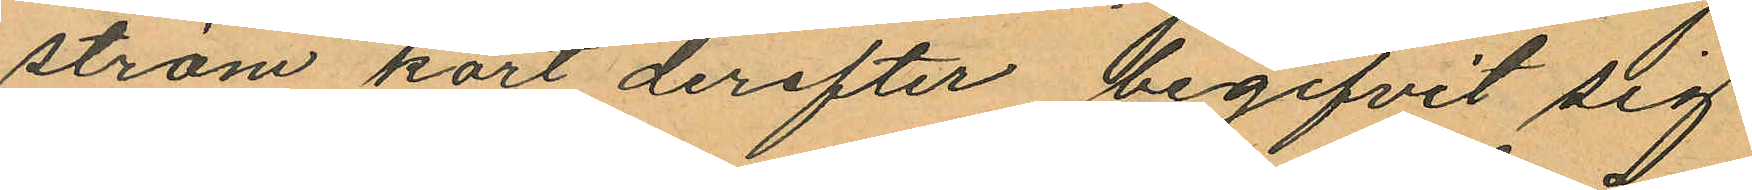ström kort derefter begifvit sig
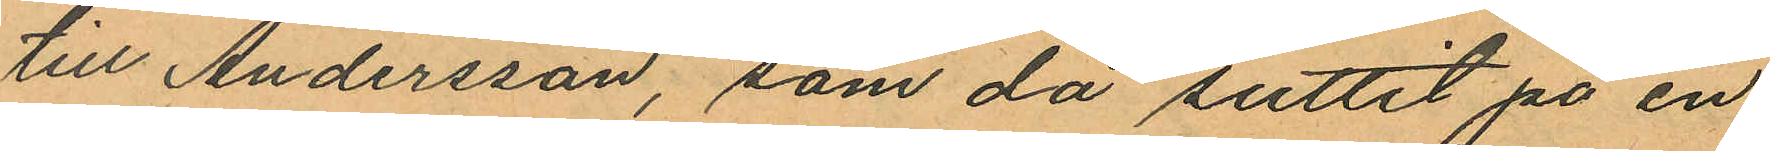till Andersson, som då suttit på en
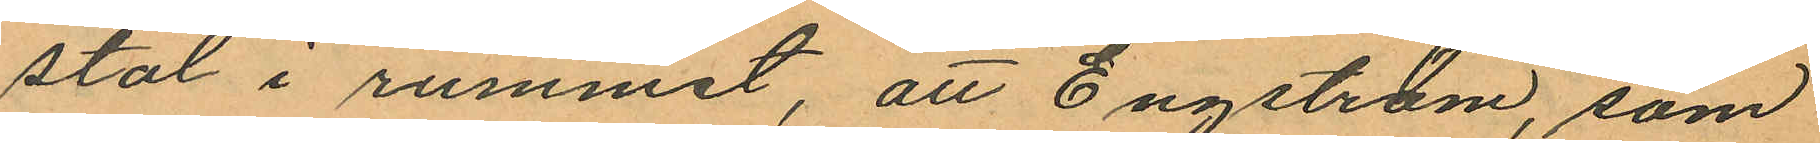stol i rummet, att Engström, som
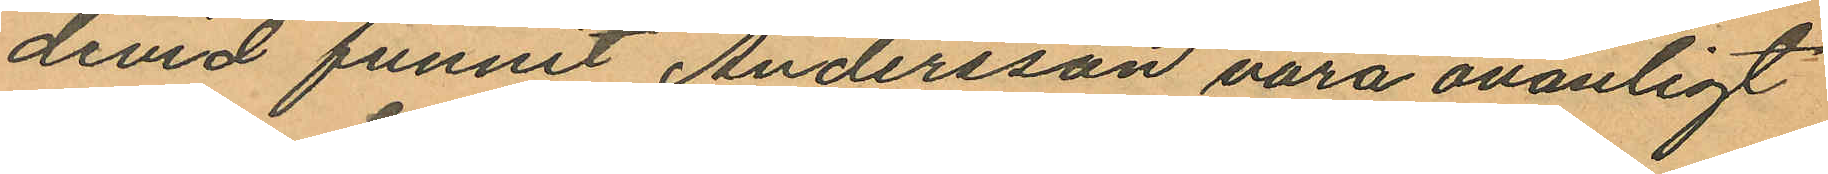devid funnit Andersson vara ovanligt
